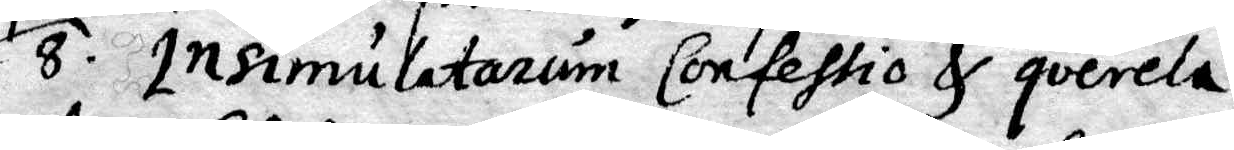8. Insimulatarum Confehtio & querela.
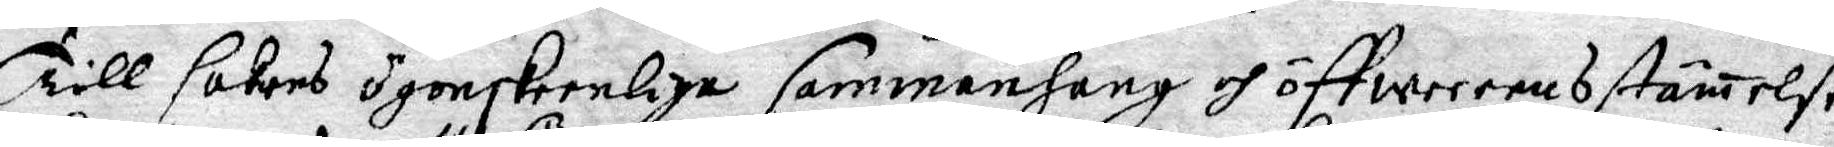Till sakens ögonskeenliga sammanhang och öffweerensstämelse
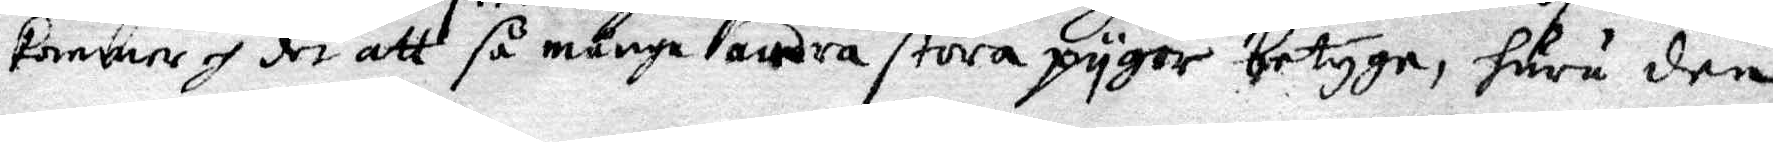kommer och det att så många andra stora pygor betyga, huru den 
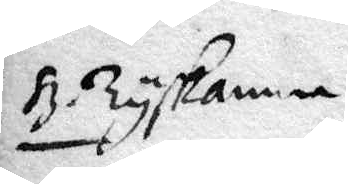H. Tyskanna.
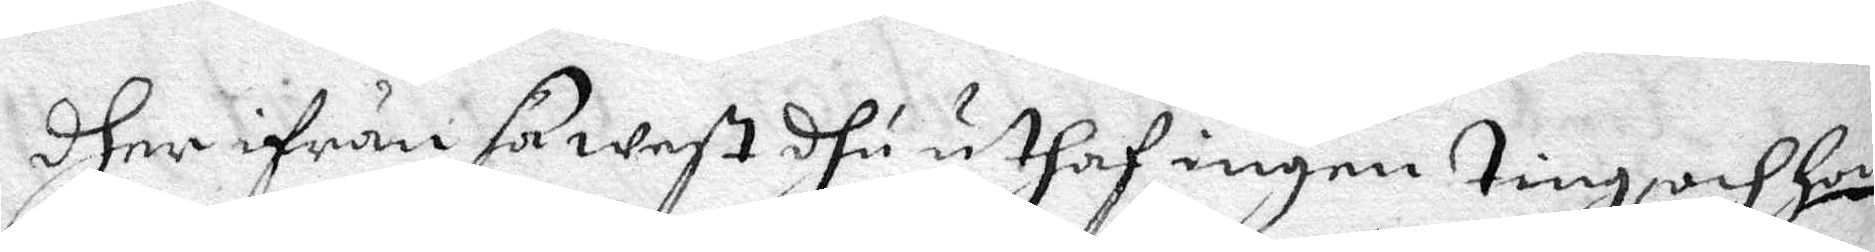dher ifrån så west dhu uthaf ingen ting, och hon
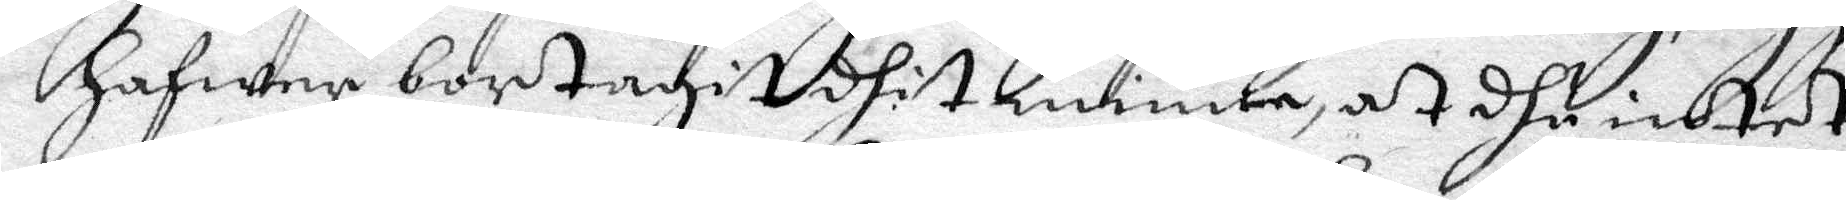hafwer bortagit dhit minne, at dhu intet
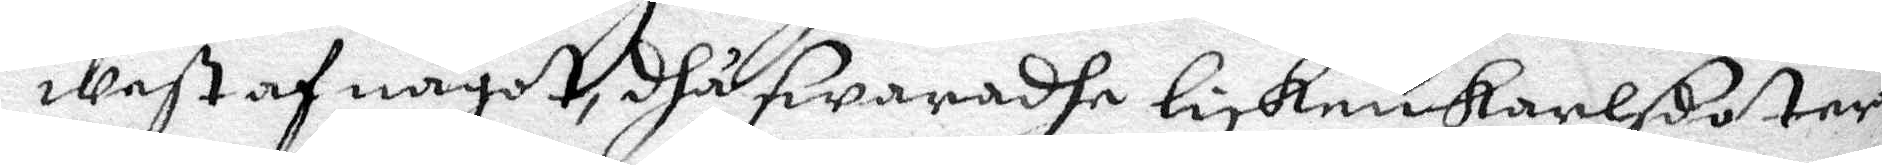west af något, dhå swaradhe lisken karlsdoter
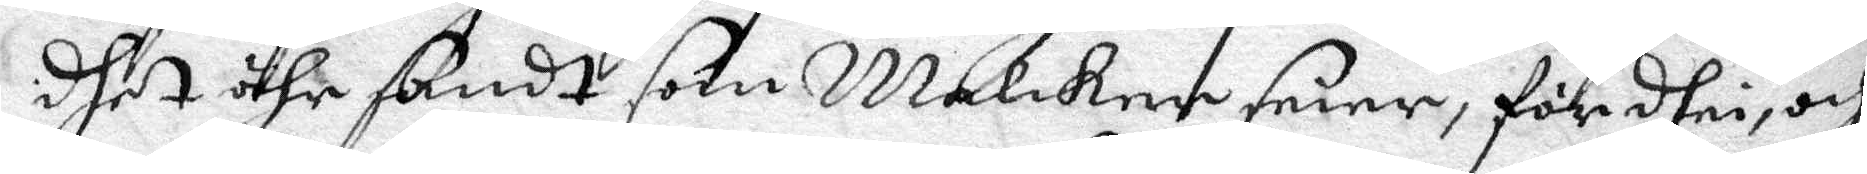dhet ähr sandt som melcker seier, för dhei, och
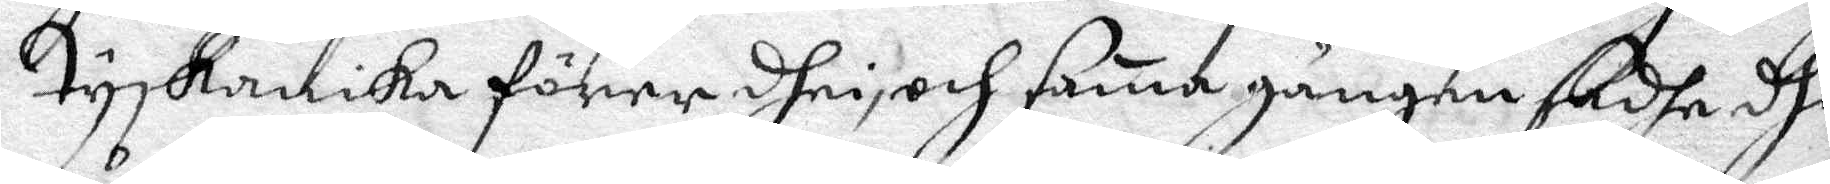Tyskannika förer dhei, och sama gången sadhe dhi
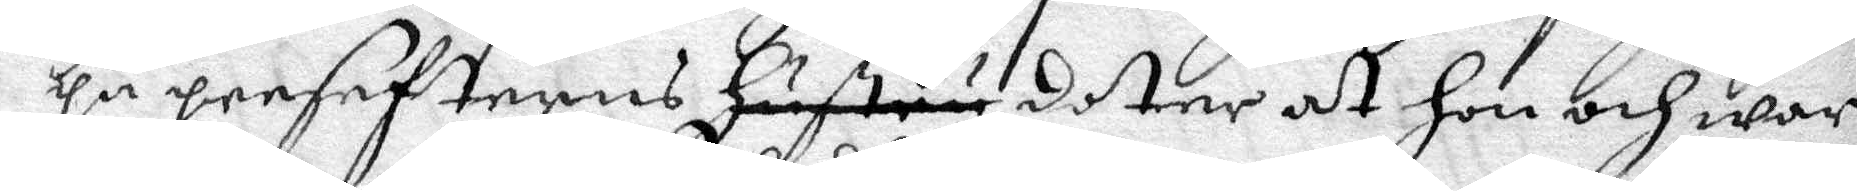på prefehterns hustru doter at hon och war
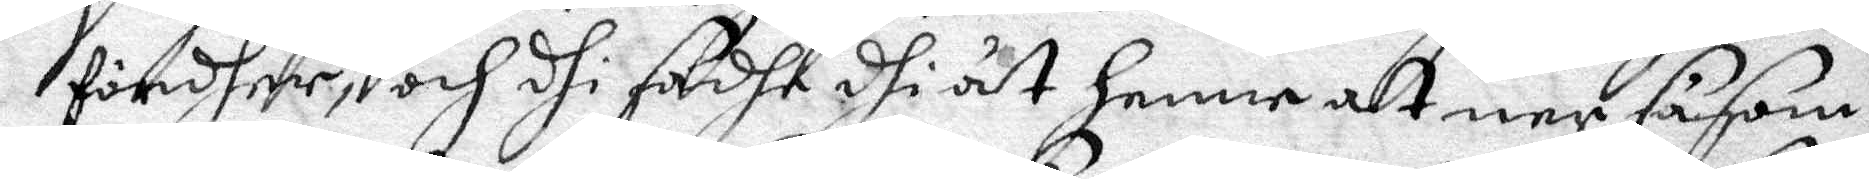fördher, och dhi sadhe dhi åt henne at ner såsom
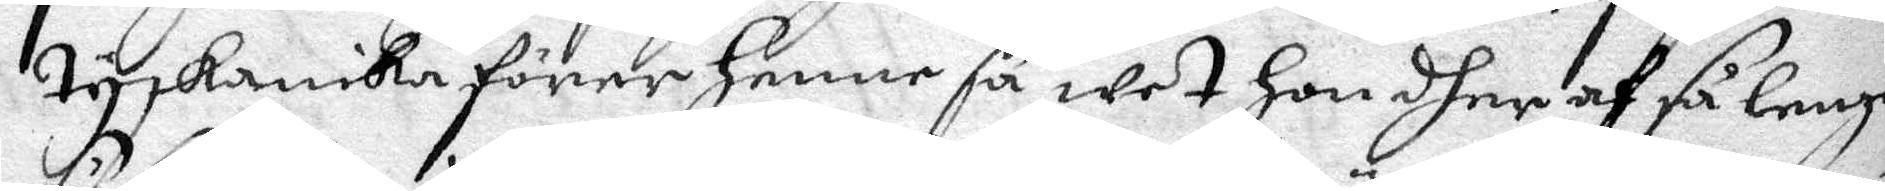tyskannika förer henne så wet hon dher af så lenge
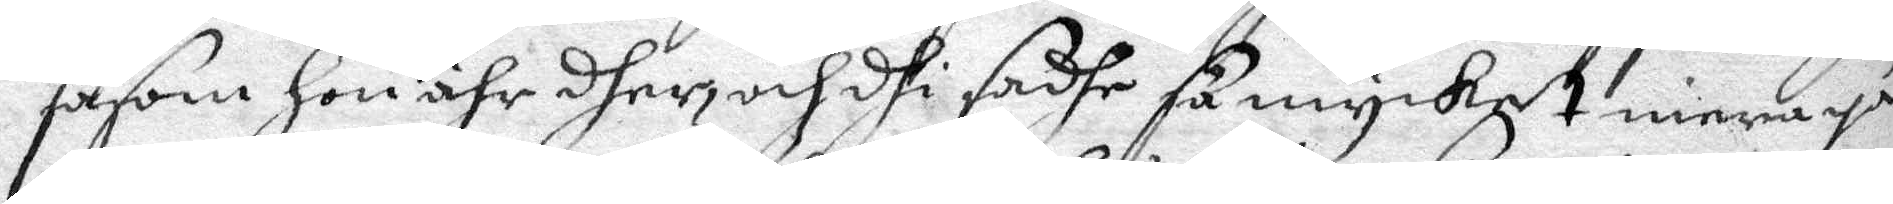såsom hon ähr dher, och dhi sadhe så mycket mera på
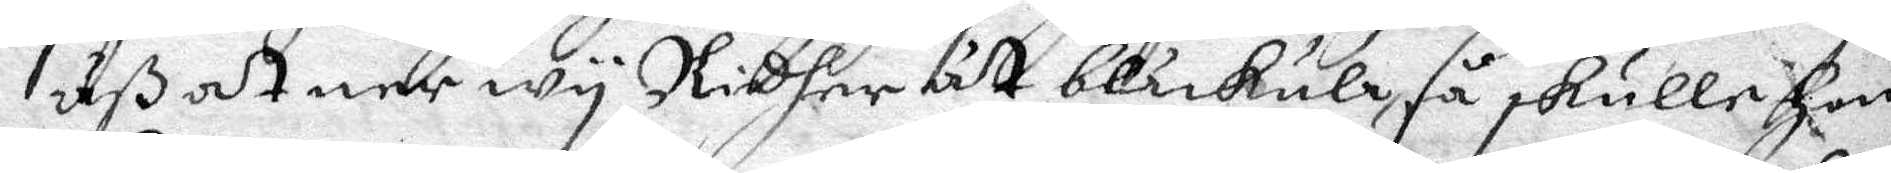uß at ner wy Ridher åt blåkulla, så skulle hon
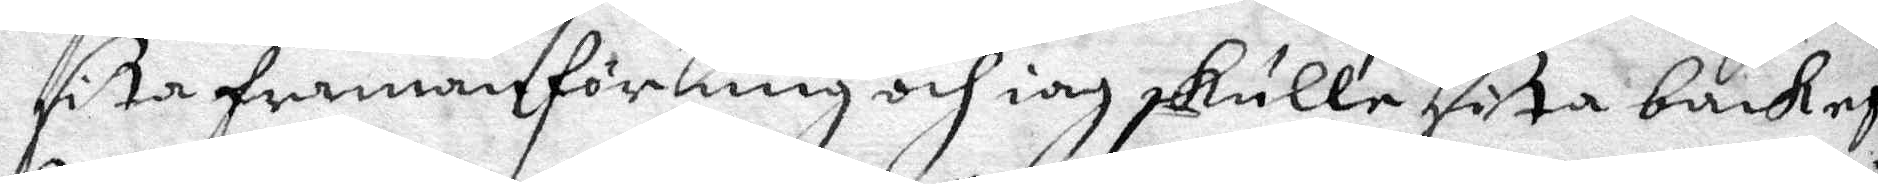sita framanför mig och iag skulle sita backef¬
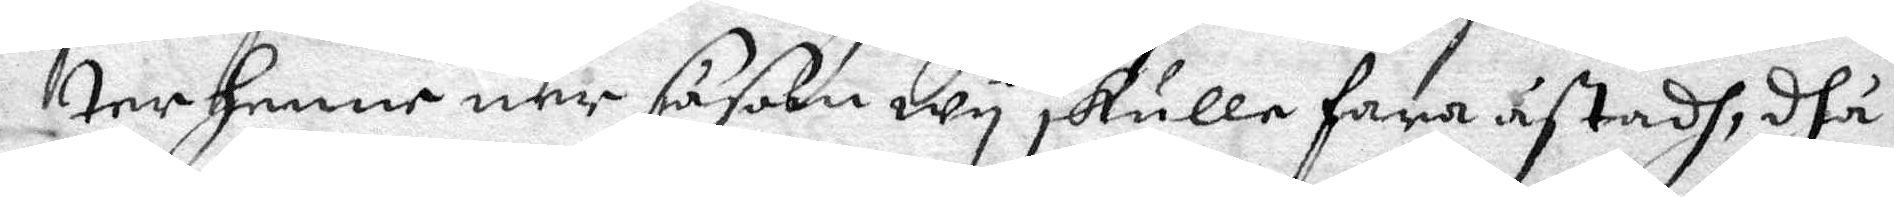ter henne ner såsom wy skulle fara åstadh, dhå
